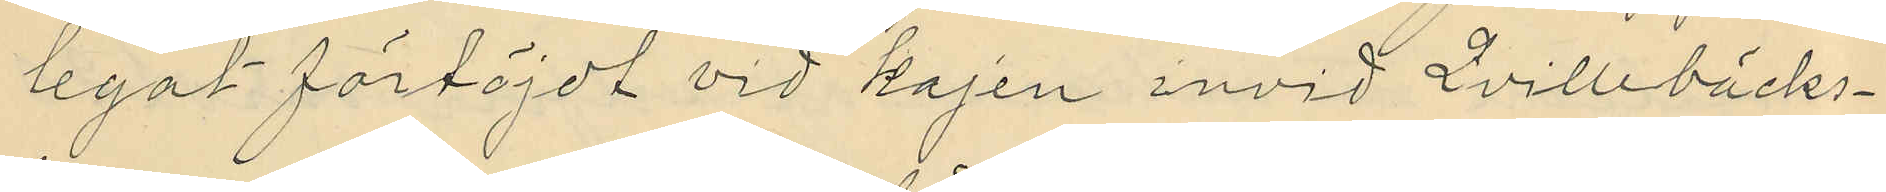legat förtöjdt vid kajen invid Qvillebäcks¬
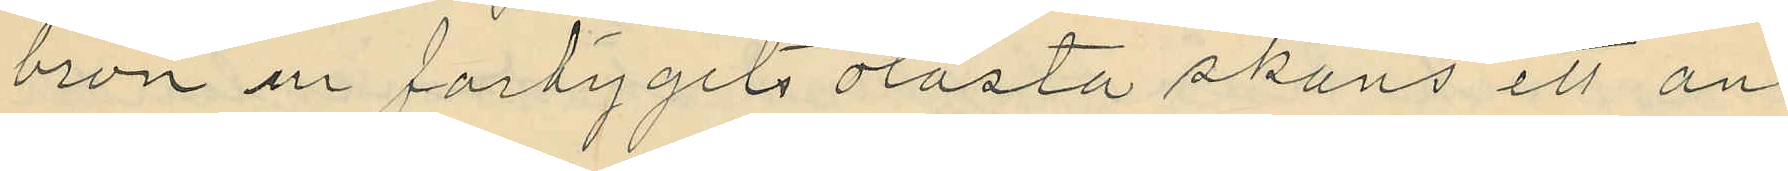bron ur fartygets olåsta skans ett an¬
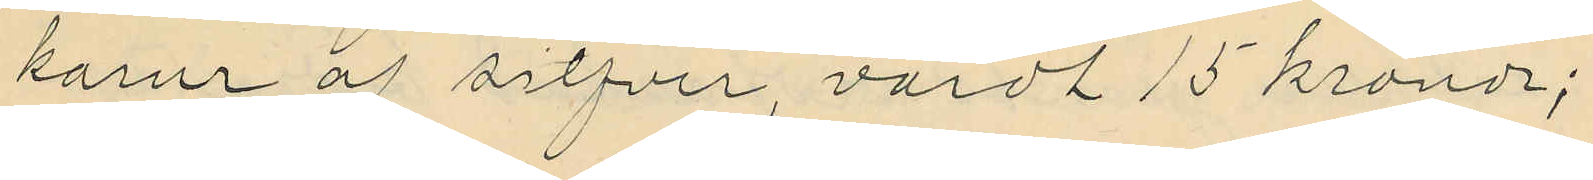karur af silfver, värdt 15 kronor;
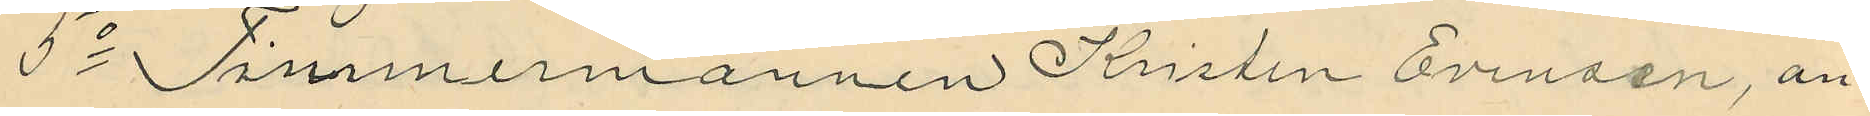5o Timmermannen Kristen Evinsen, an¬
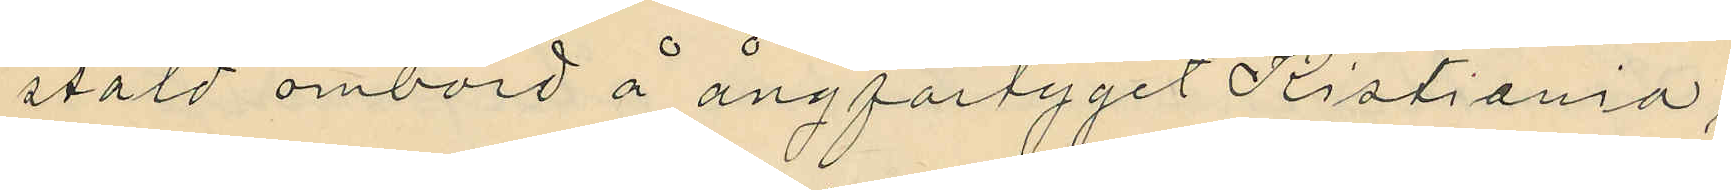stäld ombord å ångfartyget Kristiania,
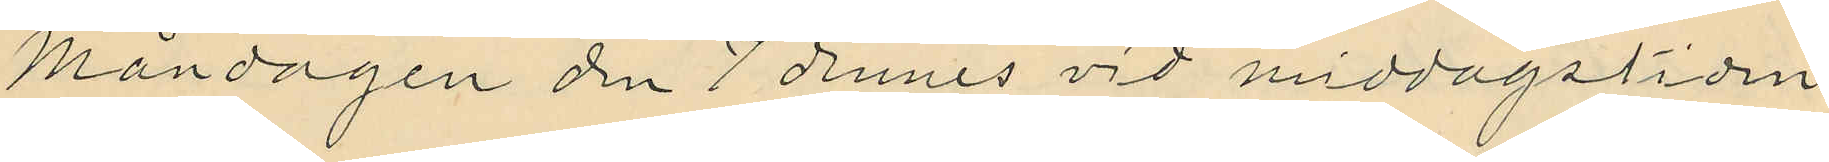Måndagen den 7 dennes vid middagstiden
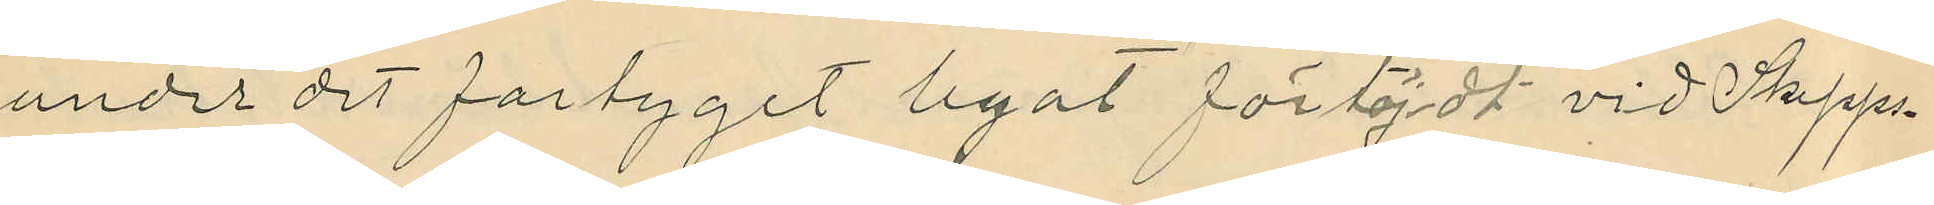under det fartyget legat förtöjdt vid Skepps¬
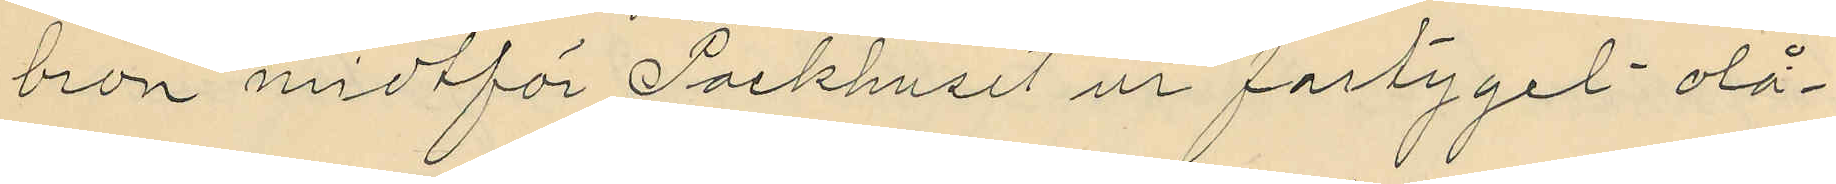bron midtför Packhuset ur fartyget olå¬
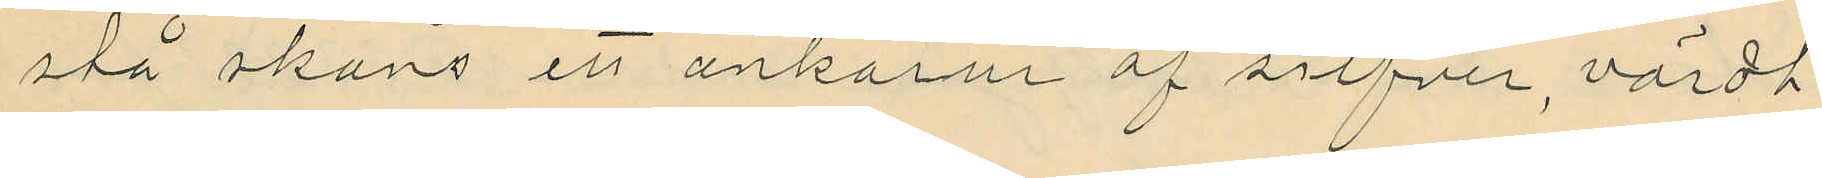stå skans ett ankarur af silfver, värdt
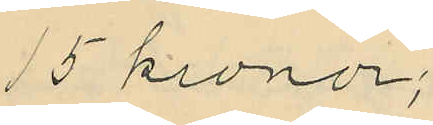15 kronor;
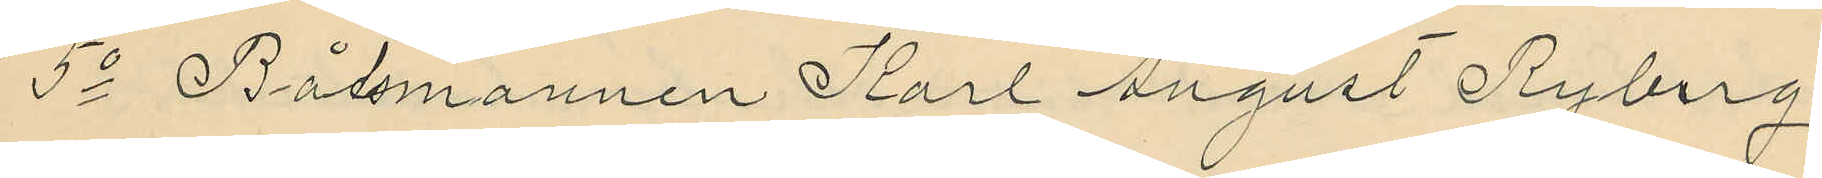5o Båtsmannen Karl August Ryberg,
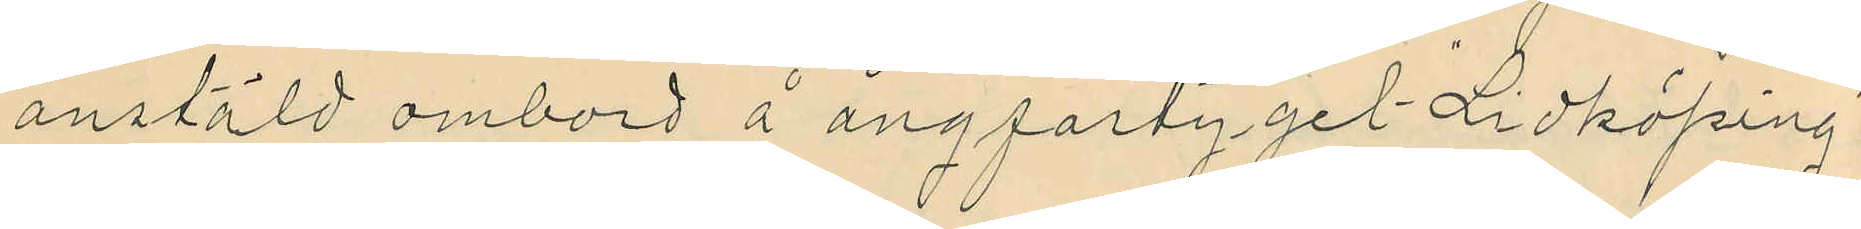anstäld ombord å ångfartyget "Lidköping"
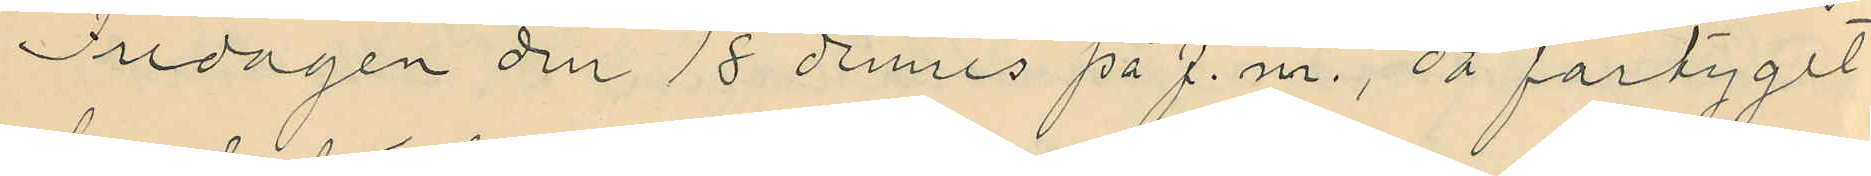Tisdagen den 18 dennes på f.m., då fartyget
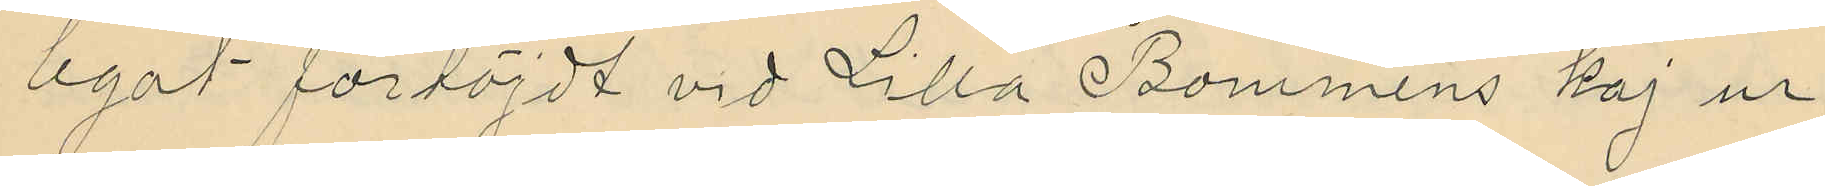legat förtöjdt vid Lilla Bommens kaj ur
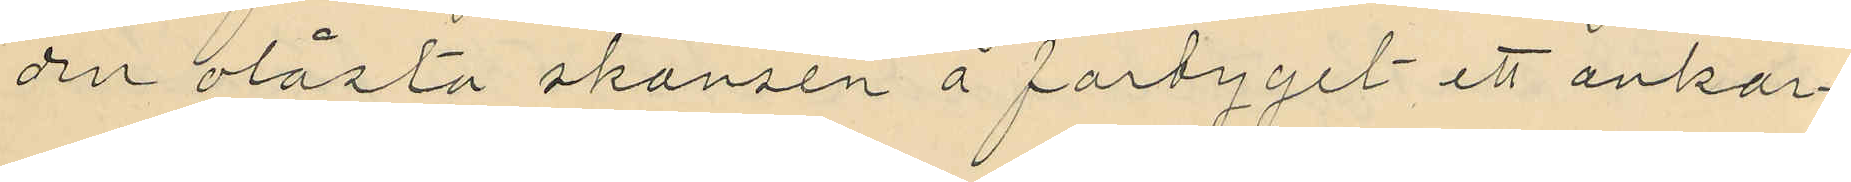den olåsta skansen å fartyget ett ankar¬
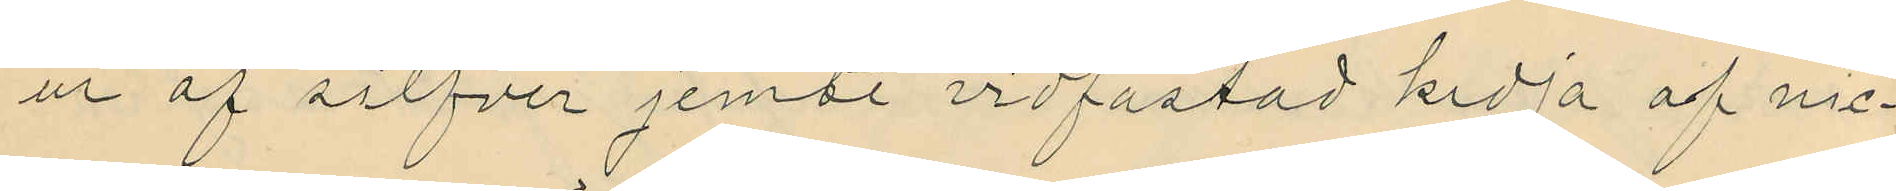ur af silfver jemte vidfästad kedja af nic¬
